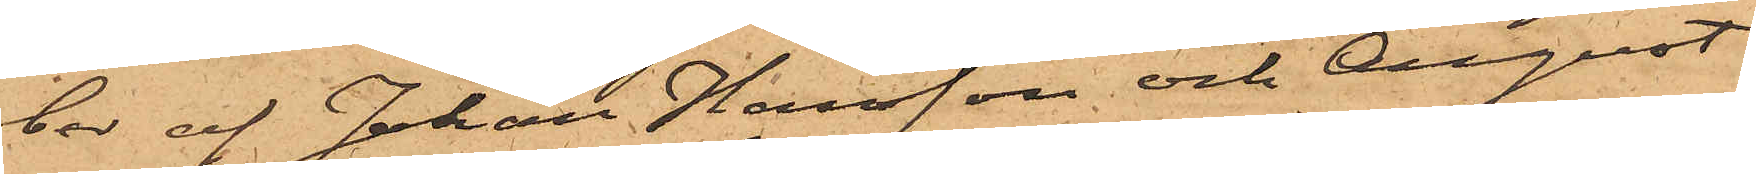ber af Johan Hansson och August
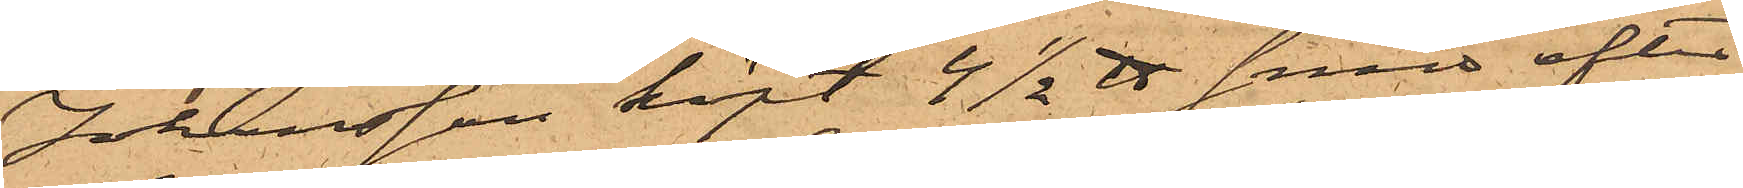Johansson köpt 4 1/2 ℔ smör efter
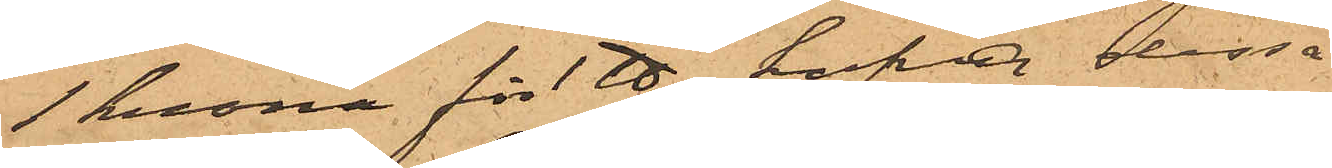1 krona för 1 ℔, hafva dessa
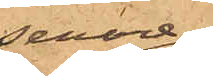senare
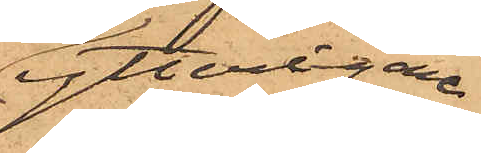ytterligare
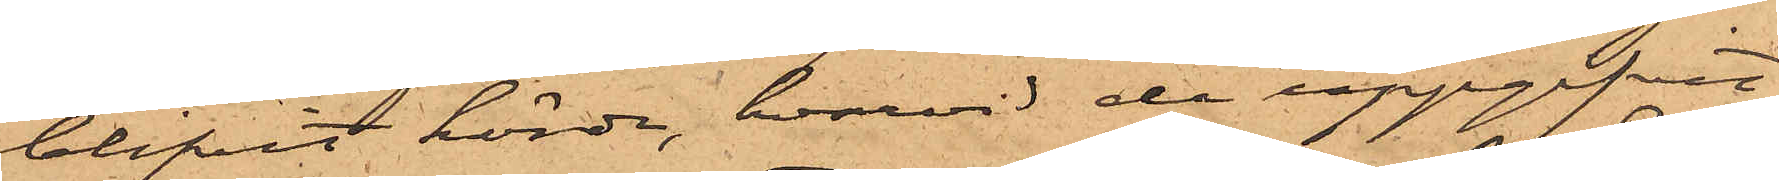blifvit hörde, hvarvid de uppgifvit
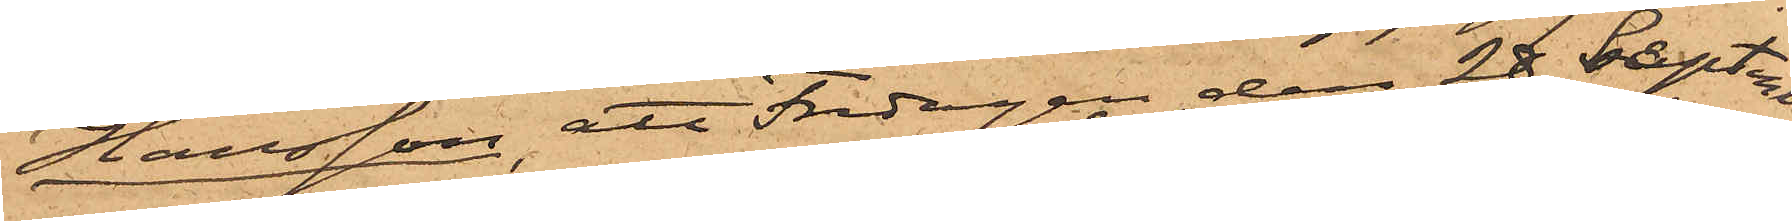Hansson, att Fredagen den 28 September
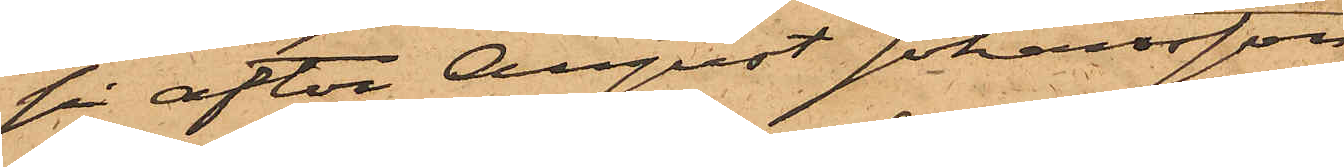på afton August Johansson
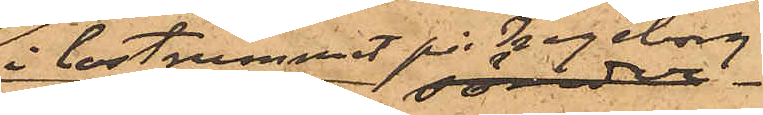i lastrummet på Ingeborg
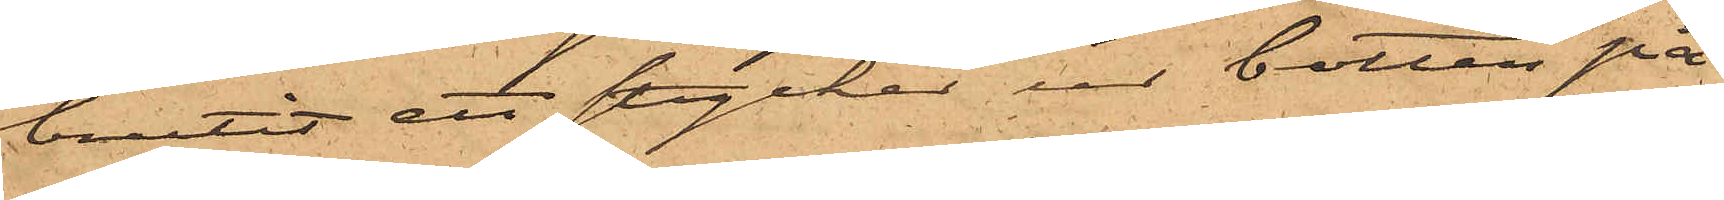brutit ett stycke ur botten på
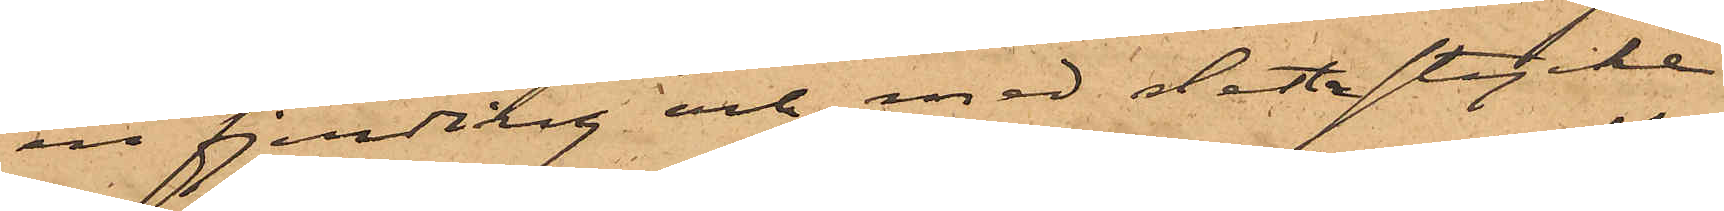en fjerding och med detta stycke
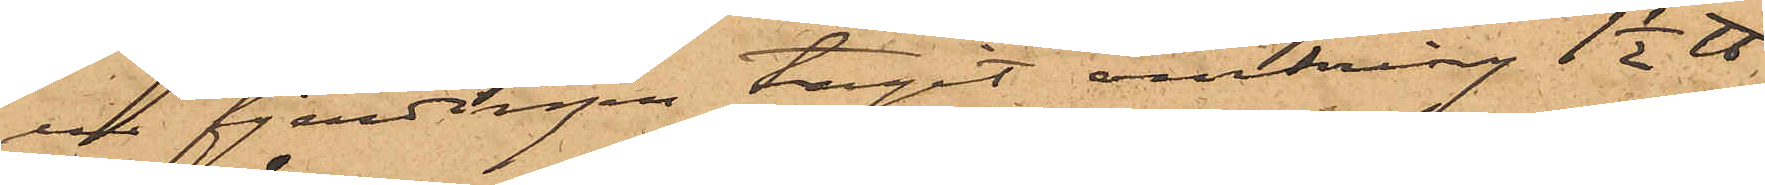ur fjerdingen tagit omkring 1 1/2 ℔
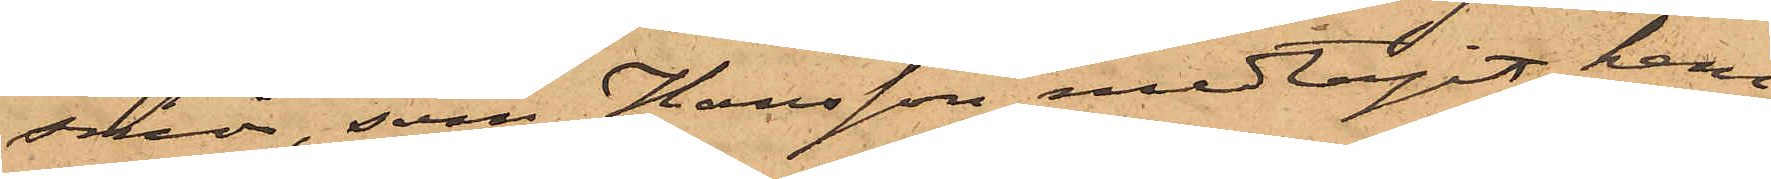smör, som Hansson medtagit hem
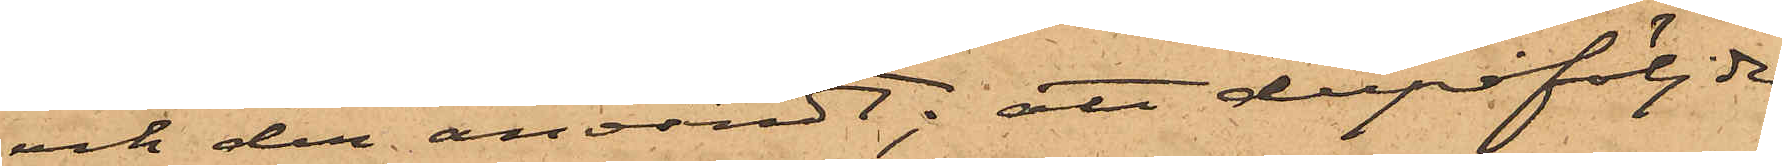och der användt; att derpåföljde
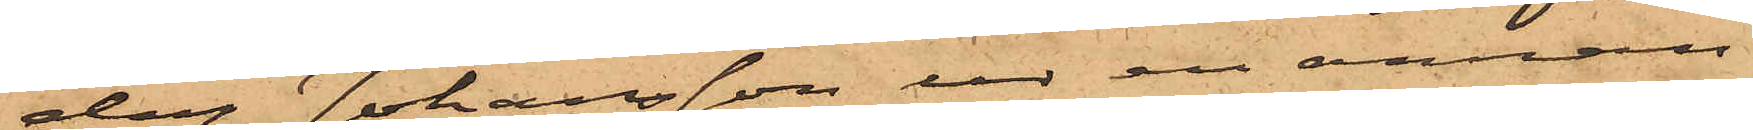dag Johansson ur en annan
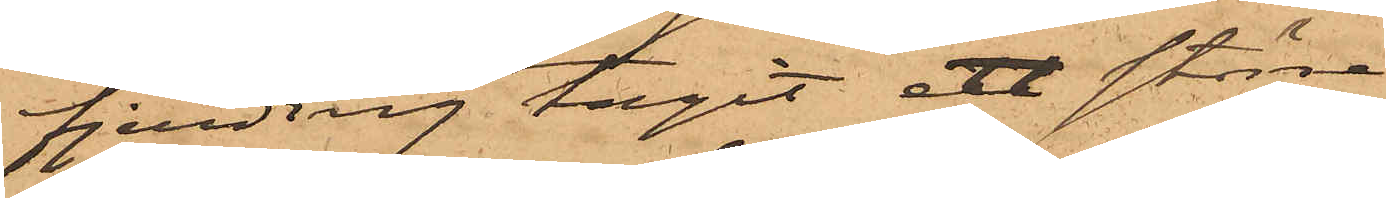fjerding tagit ett större
